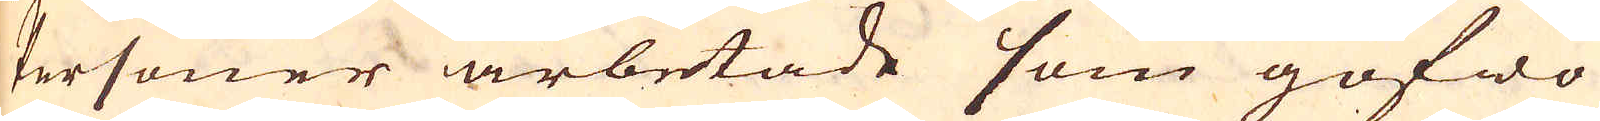Personer arbetade som gofwo
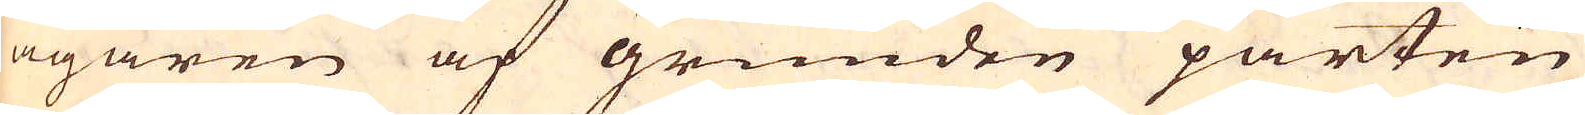ägaren af grunden parten
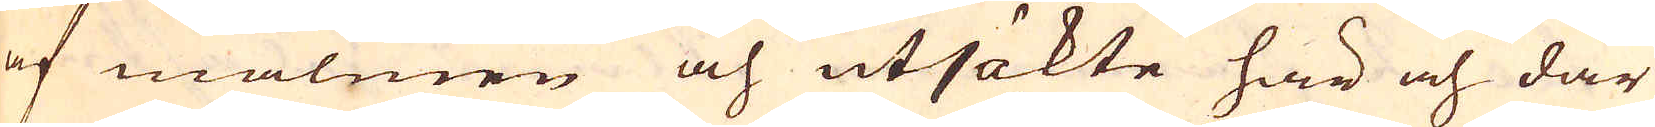af malmen och utsökte här och där
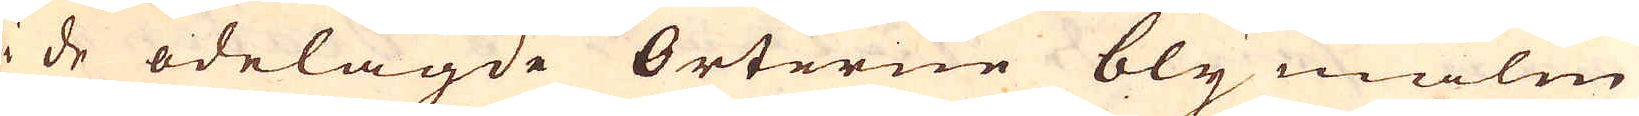i de ödelagde Orterne blymalm
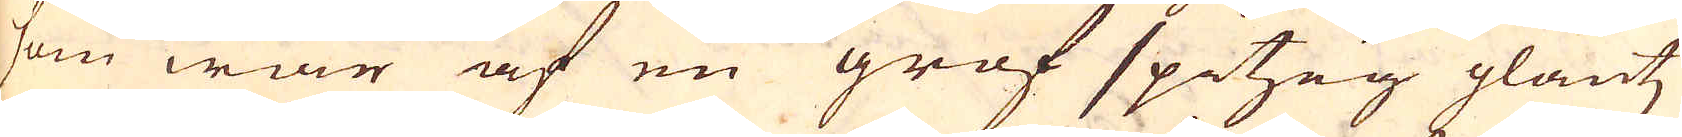som war af en grof spitzig glantz
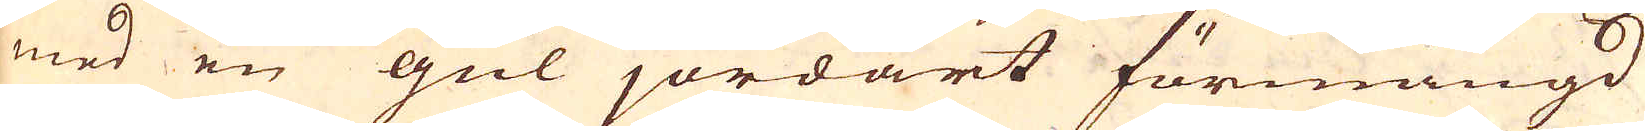med en gul jordart förmängd
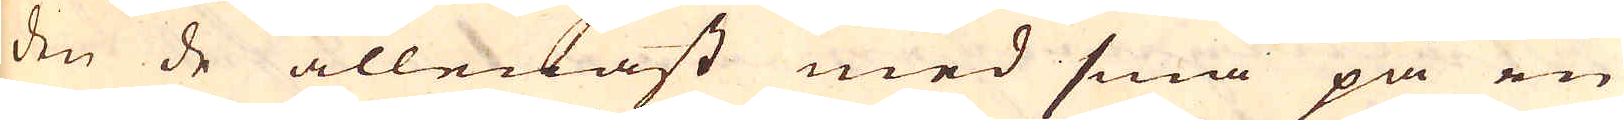den de allenast med små på en
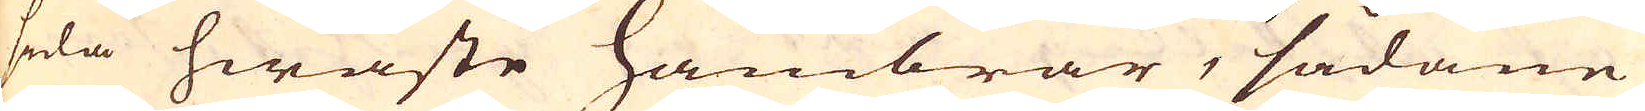sida hwäste hambrar, sådane
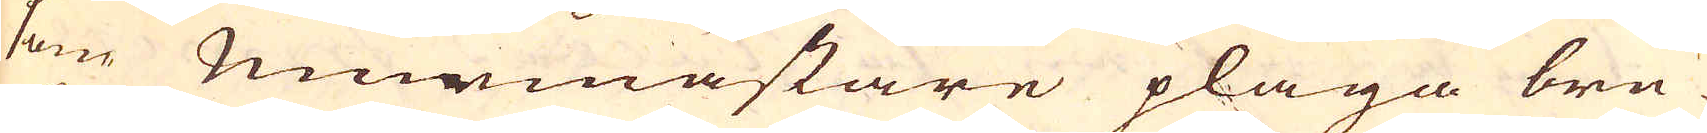som murmästare pläga bru-
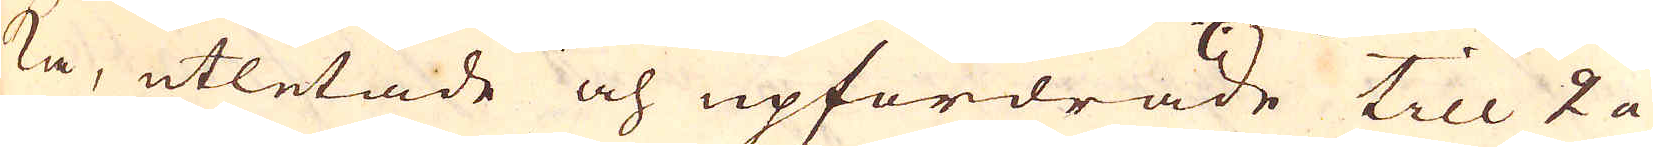ka, utletade och upfordrade till 2 a
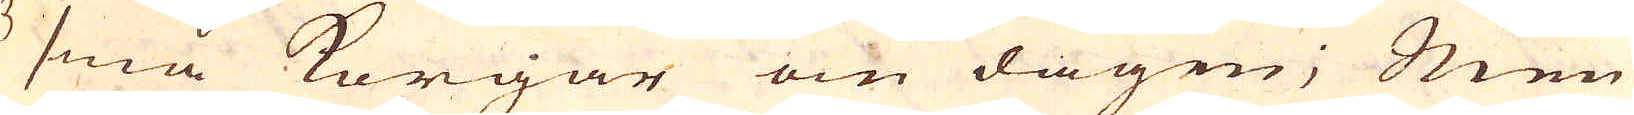3 små korgar om dagen; Men
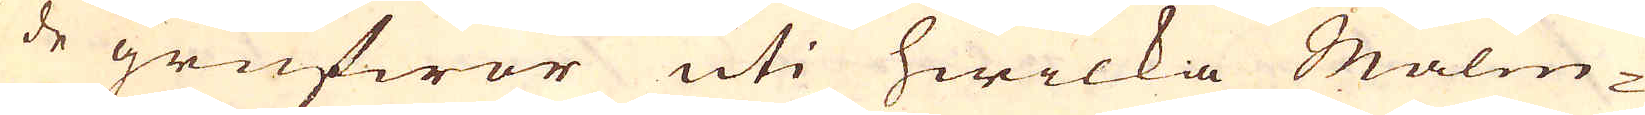de grufwor uti hwilka Malm-
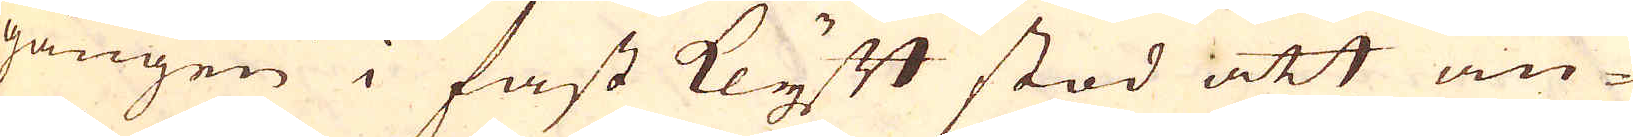gången i fast Klyft stod att an-
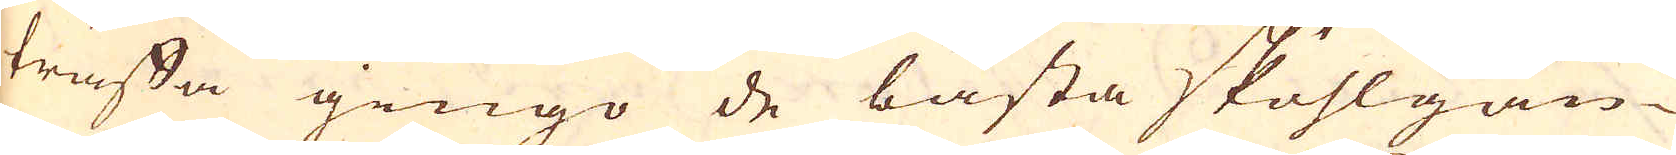träffa gingo de bästa skuhlgån-
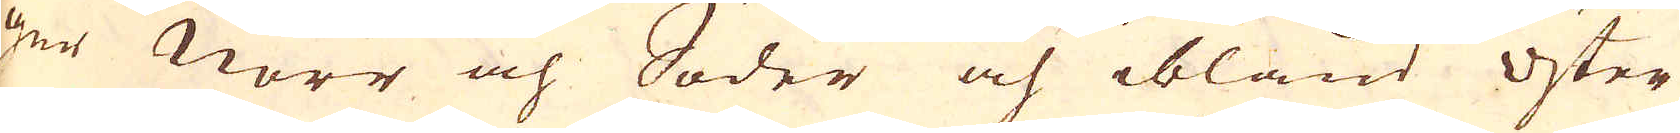gar Norr och Soder och ibland öster
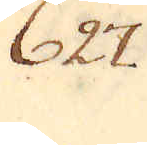627.
